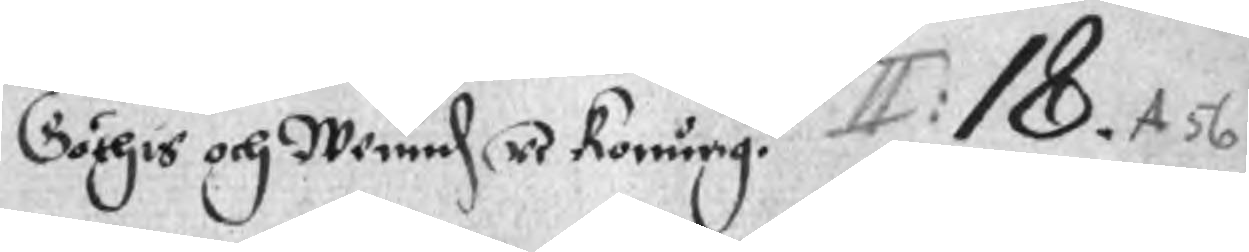Göthis och Wennd re Konung A: 18. A 56
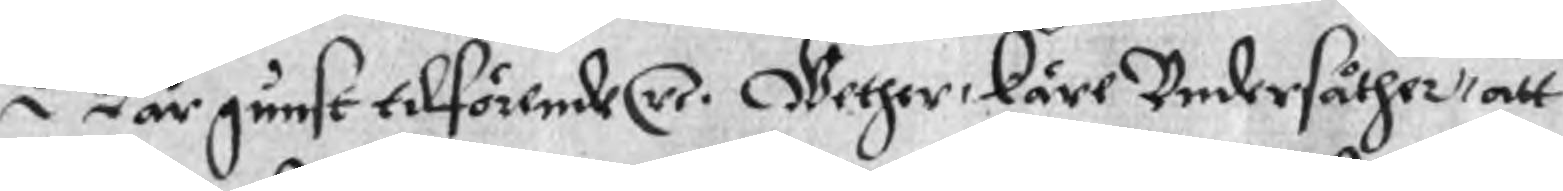Wår gunst tilförende re. Wether, käre Undersåther, att
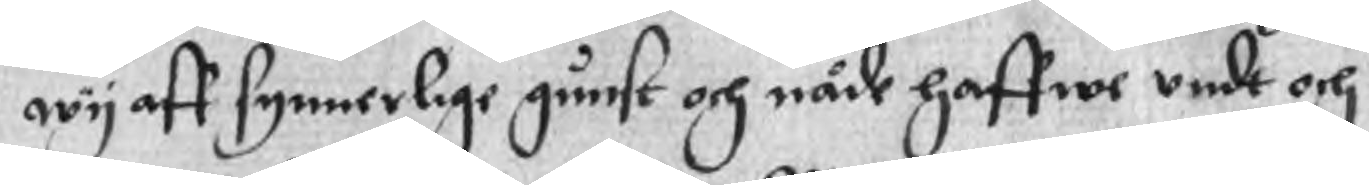wy aff synnerlige gunst och nåde haffwe undt och
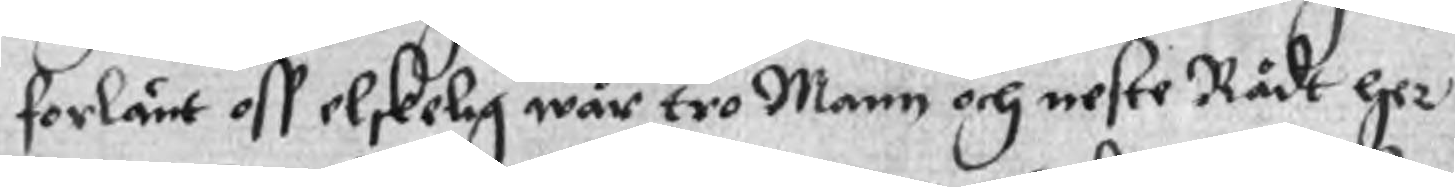förlänt oss elskelig wår tro Mann och neste Rådt her
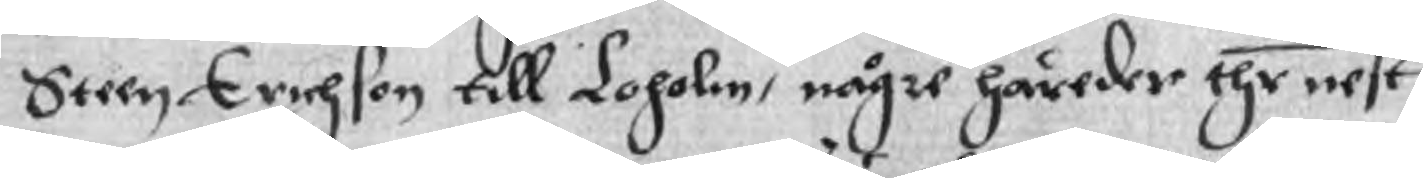Steen Erichson till Loholm, någre häreder thr nest
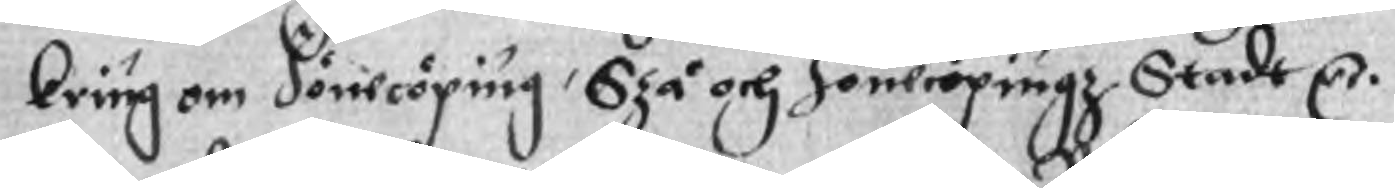kring om Jönecöping, Szå och Jönecöpingz Stadt Cr.
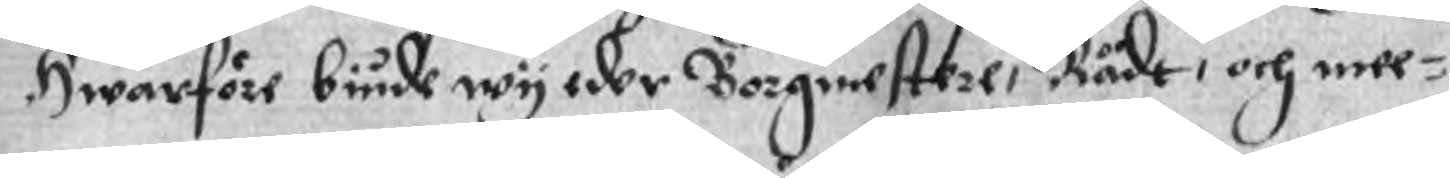Hwarföre biude wy der Borgmestere, Rådt, och mee¬
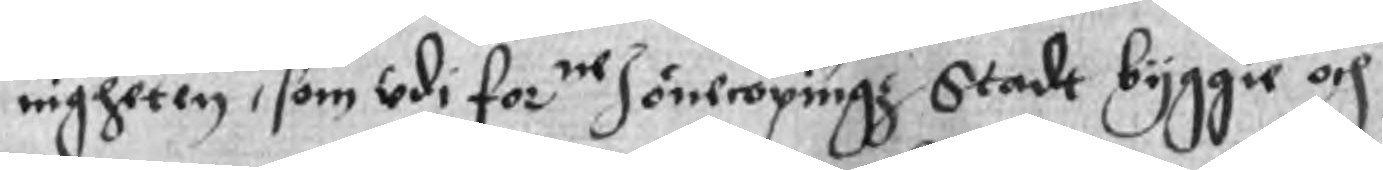nigheten, som udi forne Jönecöpingz Stadt byggie och
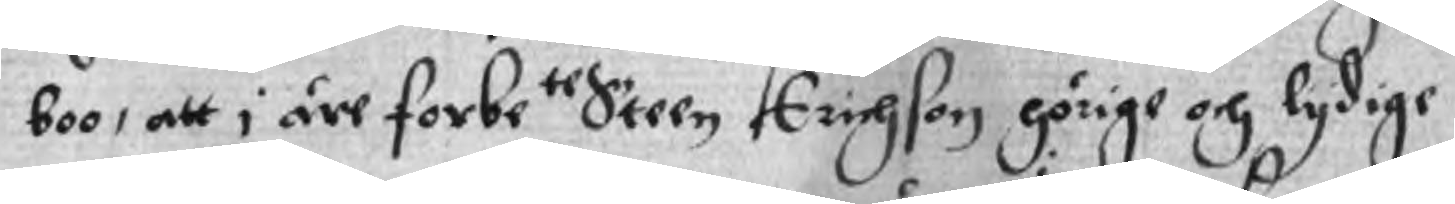boo, att i äre forbete Steen Erichson hörige och lydige
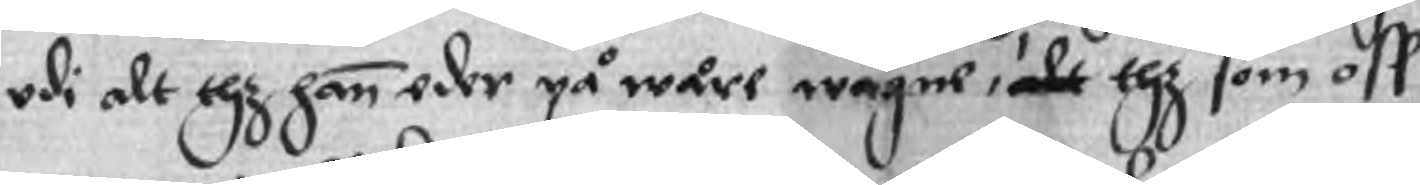udi alt thz han eder på wåre wågne, ake thz som oss
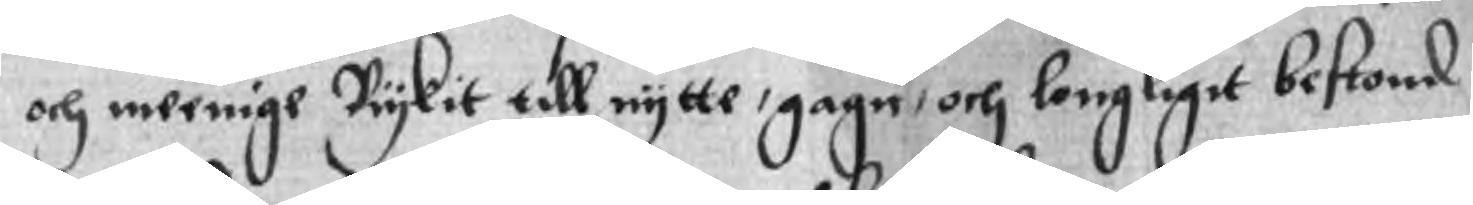och meenige Riykit till nytte, gagn, och longligit bestond
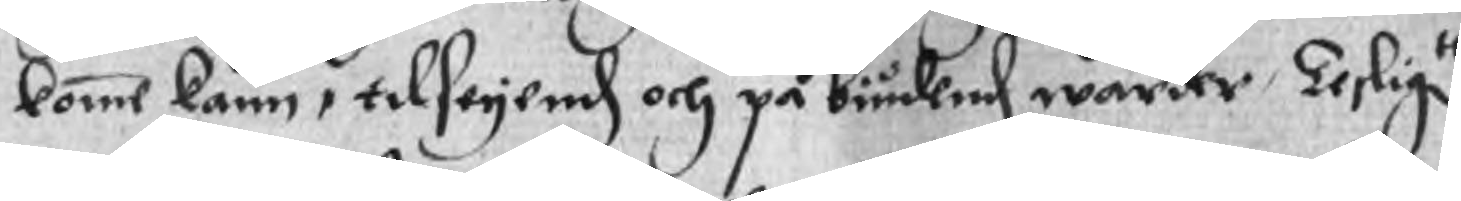komme kann, tilseyendh och på biudend warder, Tesligte
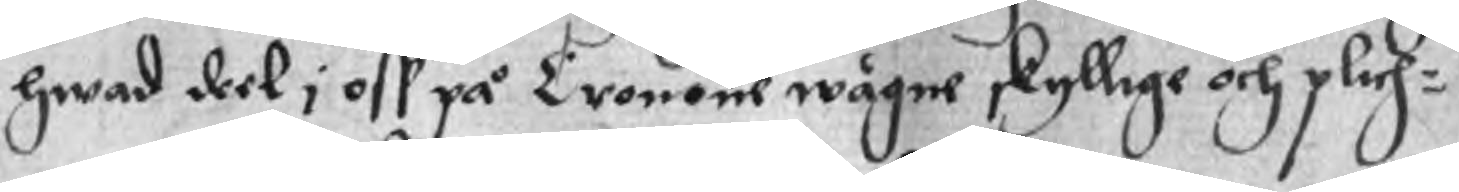hwad deel i oss på Cronone wågne skyllige och plich¬
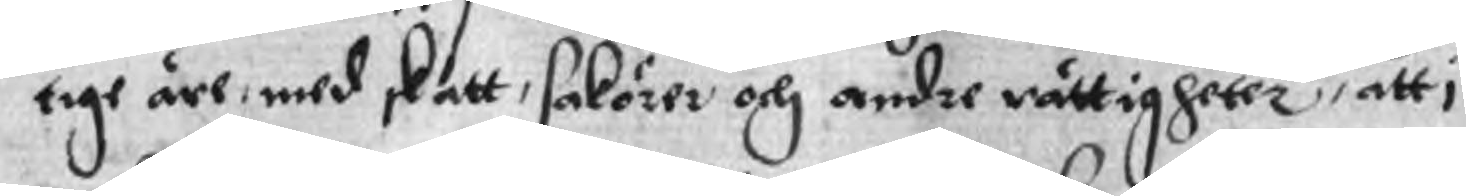tige äre med skatt, sakörer och andre rättigheter, att i
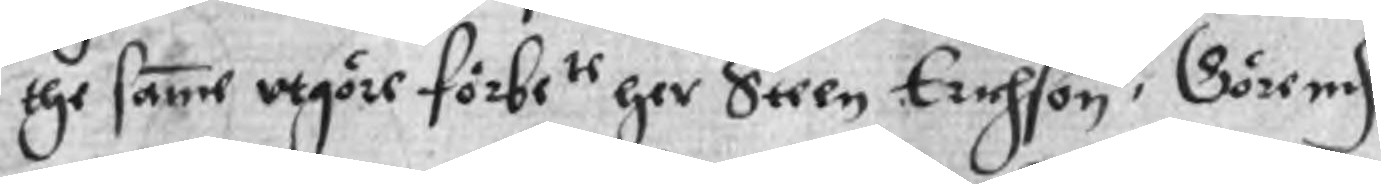the samme utgöre förbete her Steen Erichson, Görnd
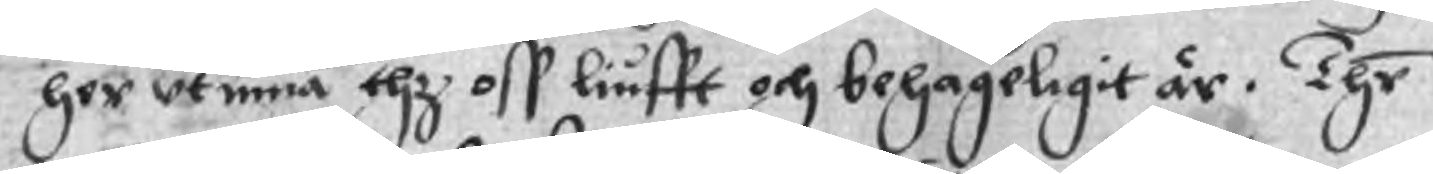her utinna thz oss liufft och behageligit är. Thr
